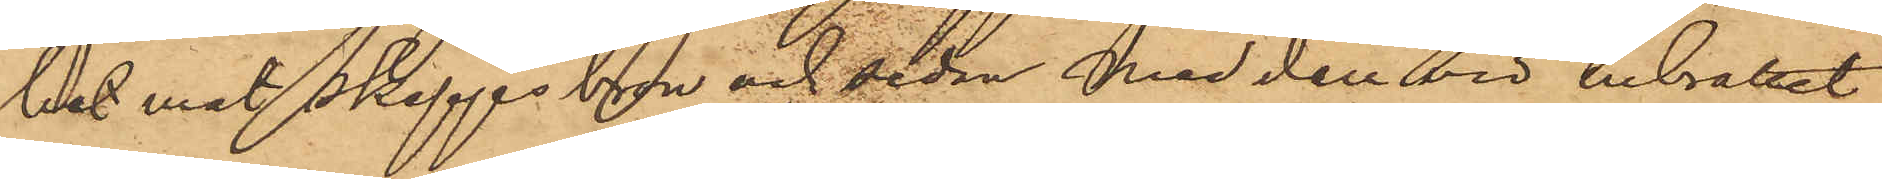ket mot skeppsbron och sedan med den vid inbrottet
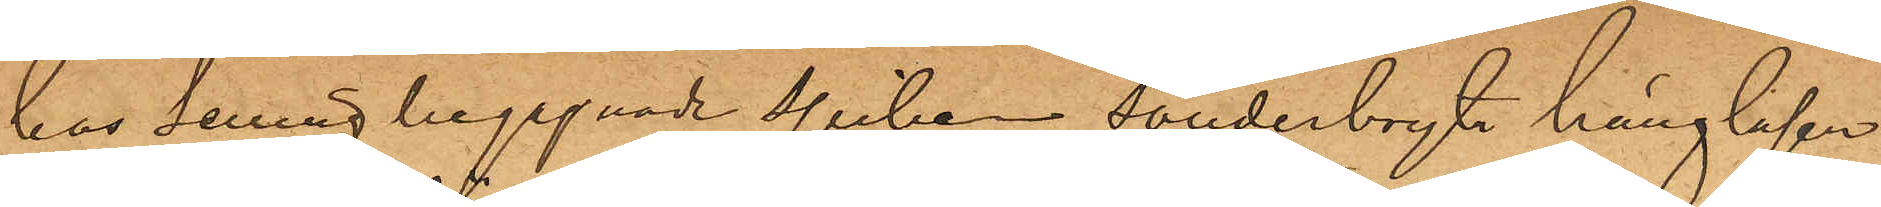hos Selling begagnade spiken sönderbryta hänglåsen
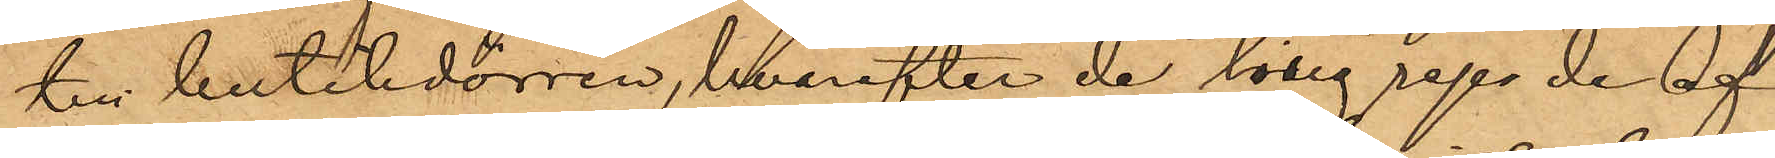till butikdörren, hvarefter de tillgrep de av 
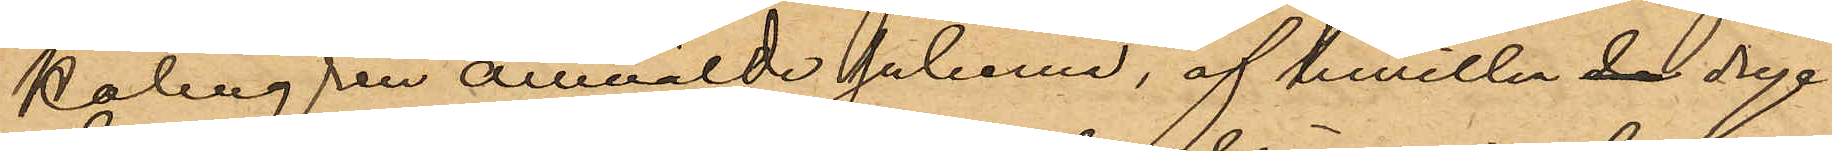Palmgren anmälde sakerna, af hvilka de dryc¬
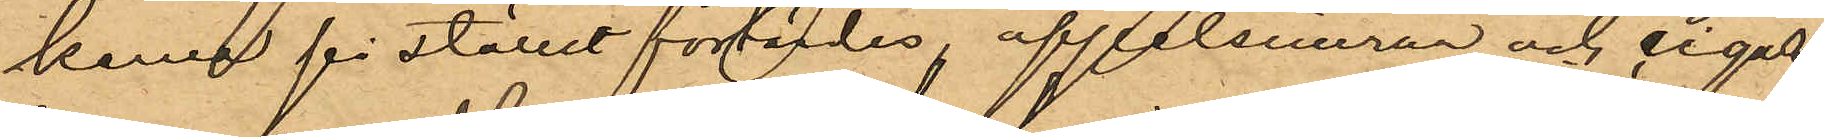kerna på stället förtärdes, apelsinerna och cigar¬
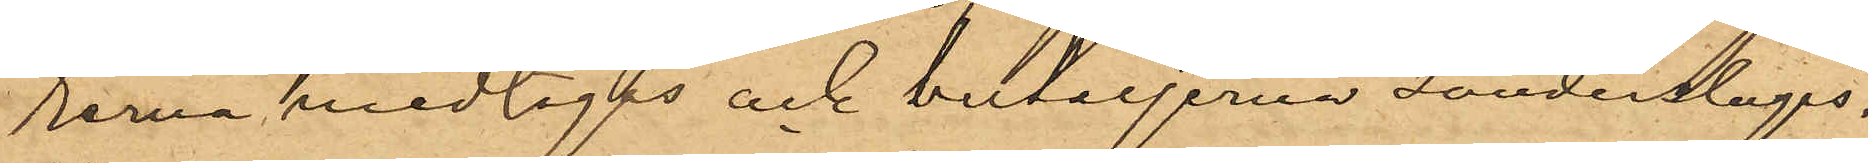rerna medtogos och buteljerna sönderslogos,
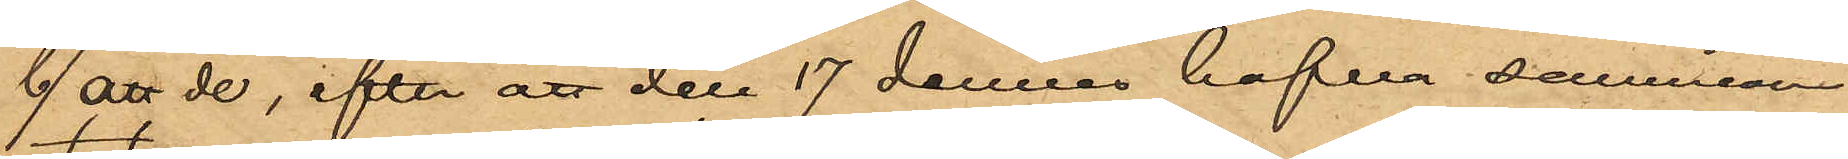b/ att de, efter att den 17 dennes hafva samman¬
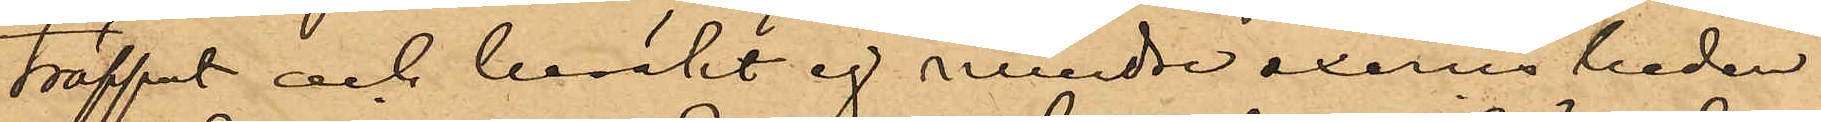träffat och besökt ej mindre exercisheden
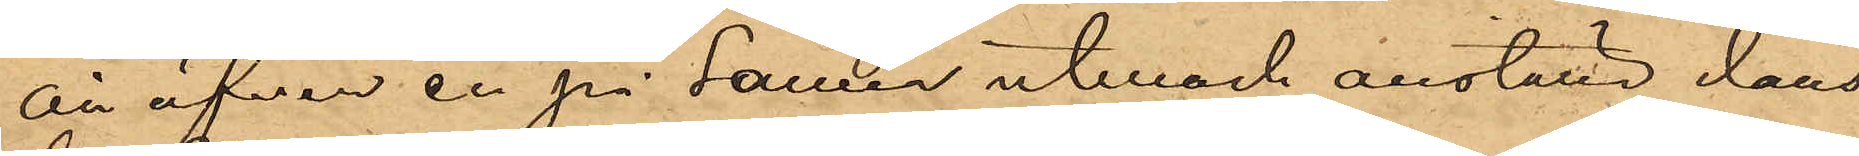än äfven en på samma utmark anställd dans¬
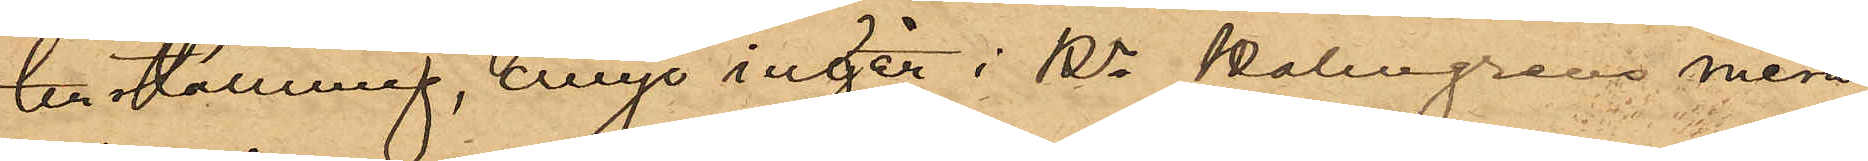tillställning, ånyo ingått i Hr Palmgrens mera¬
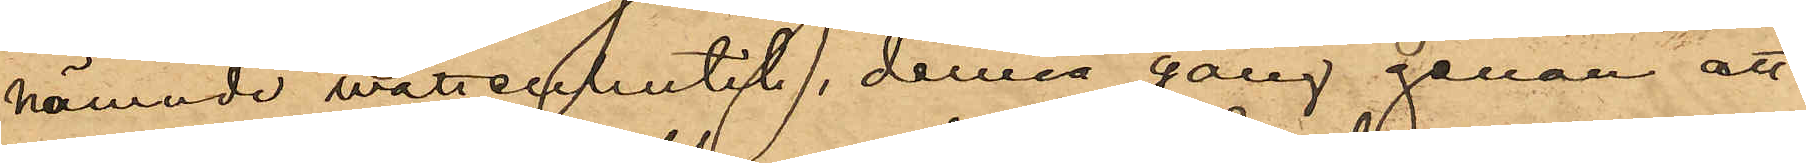nämnde wattenbutik, denna gång genom att
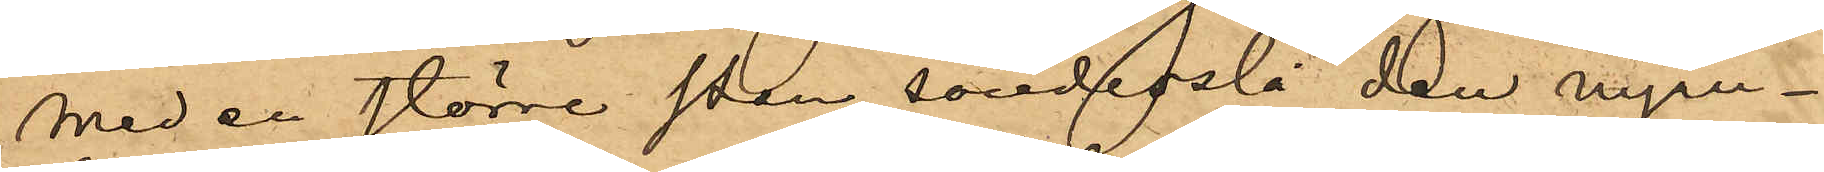med en större sten sönderslå den nyan¬
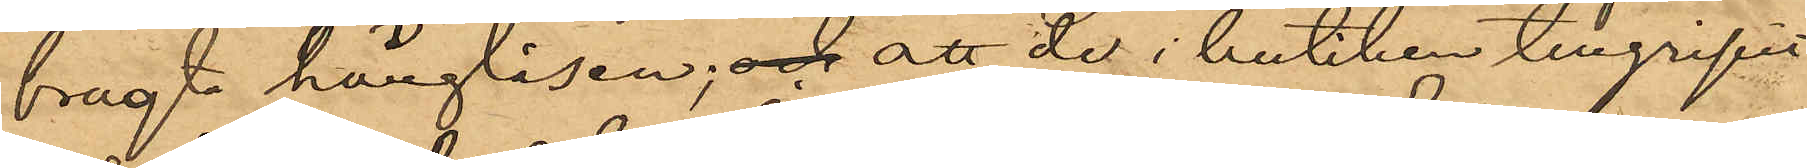bragte hänglåsen; och att de i butiken tillgripit
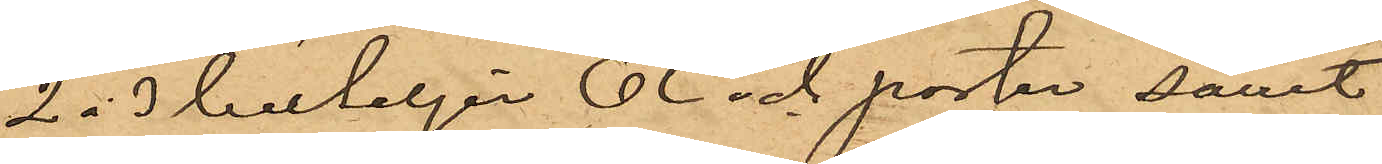2 á 3 buteljer Öl och porter samt
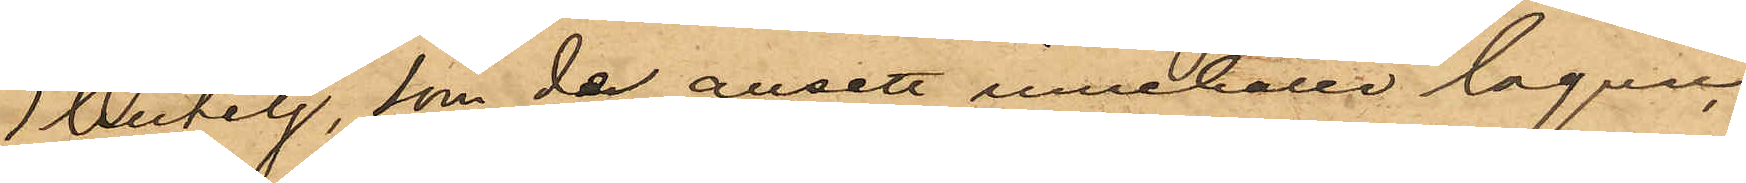1 butelj, som de ansett innehålla Cognac,
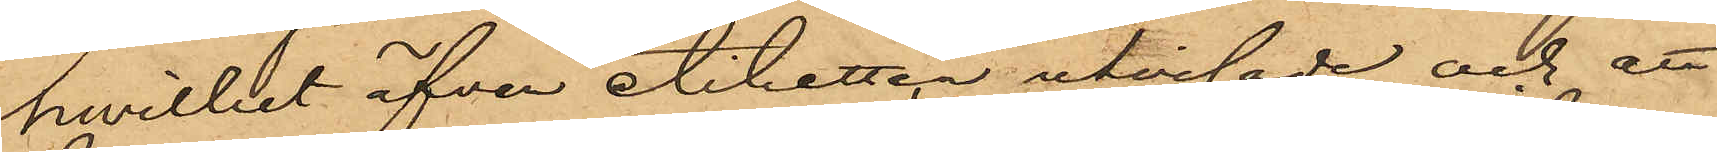hwilket äfven etiketten utvisade,  och att
